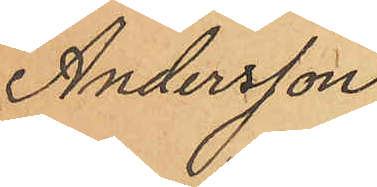Andersson
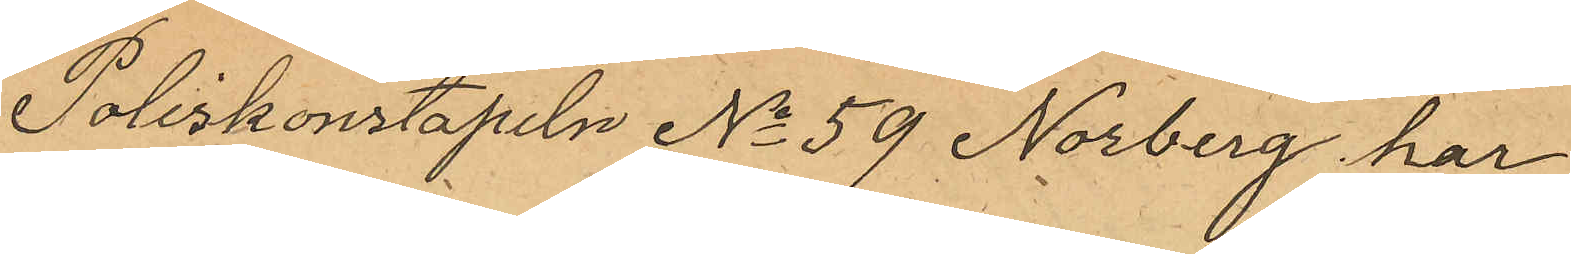Poliskonstapeln No 59 Norberg har
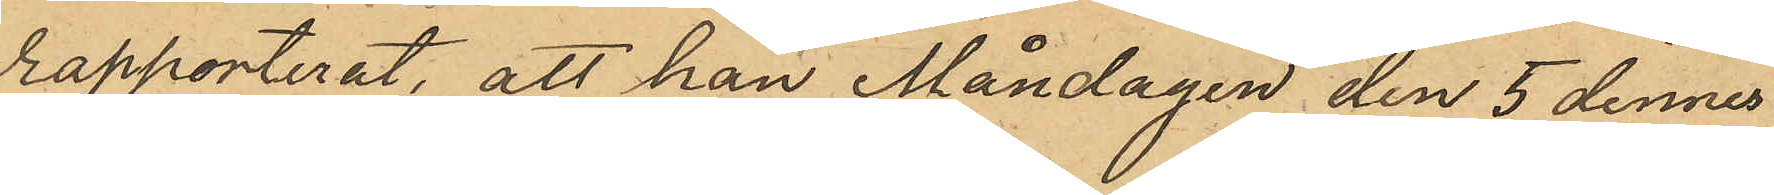rapporterat, att han Måndagen den 5 dennes
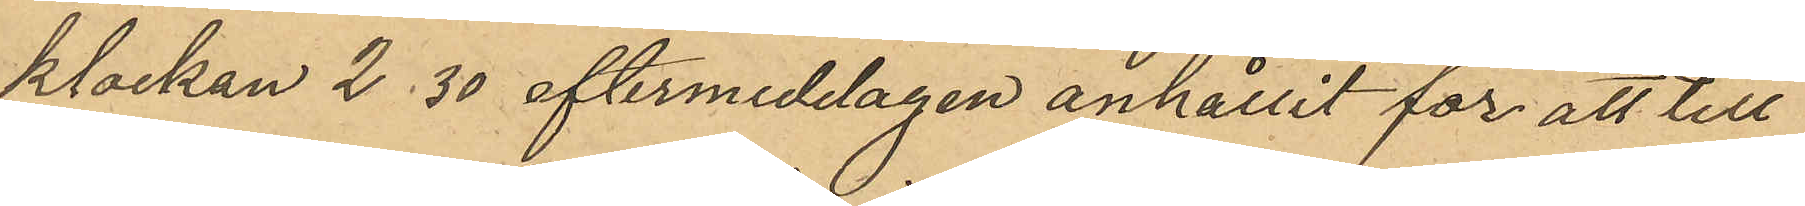klockan 2,30 eftermiddagen anhållit för att till
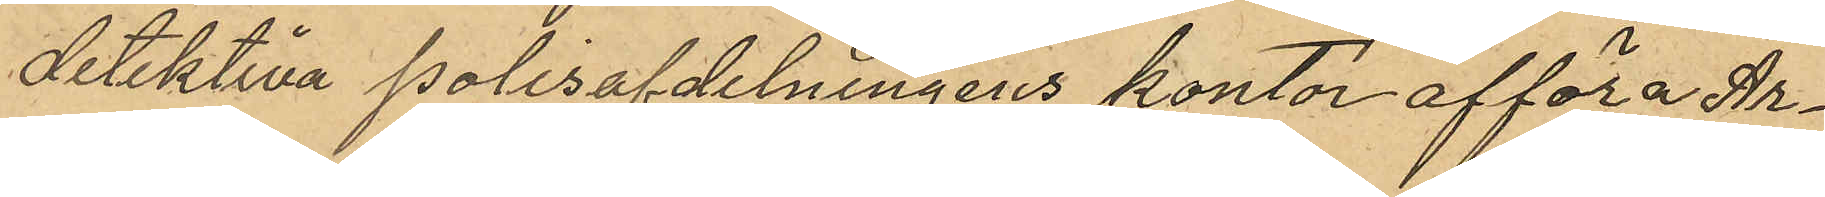detektiva polisafdelningens kontor afföra Ar¬
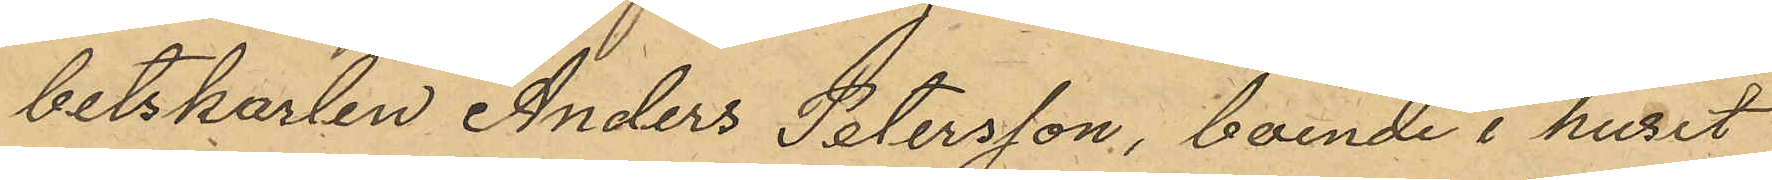betskarlen Anders Petersson, boende i huset
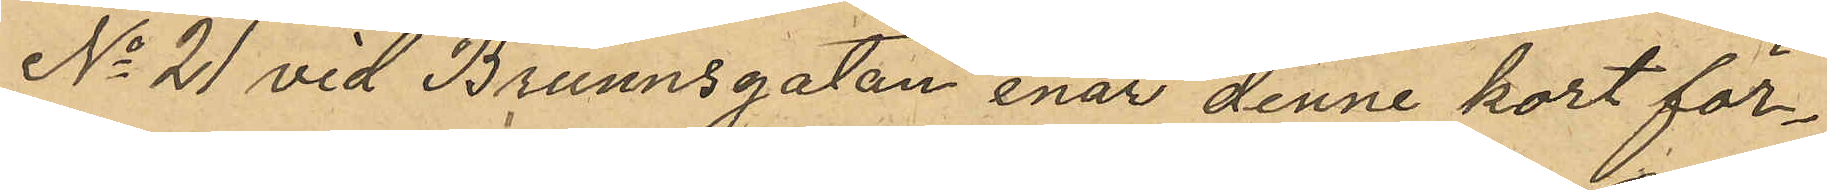No 21 vid Brunnsgatan enär denne kort för¬
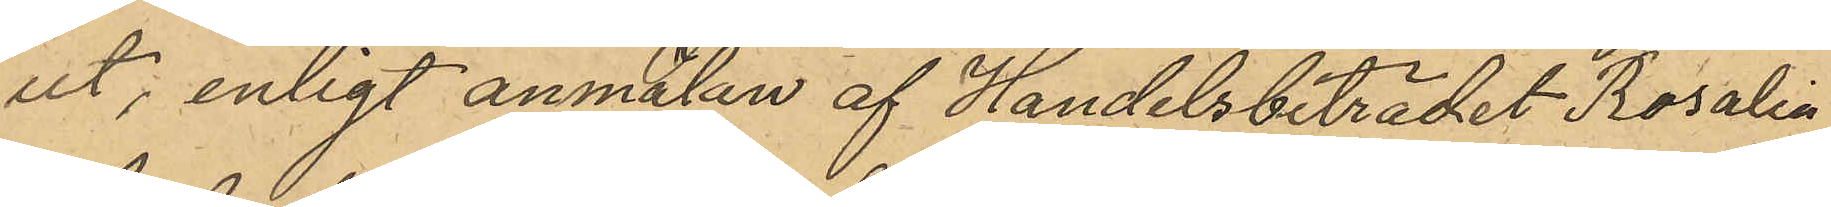ut; enligt anmälan af Handelsbiträdet Rosalia
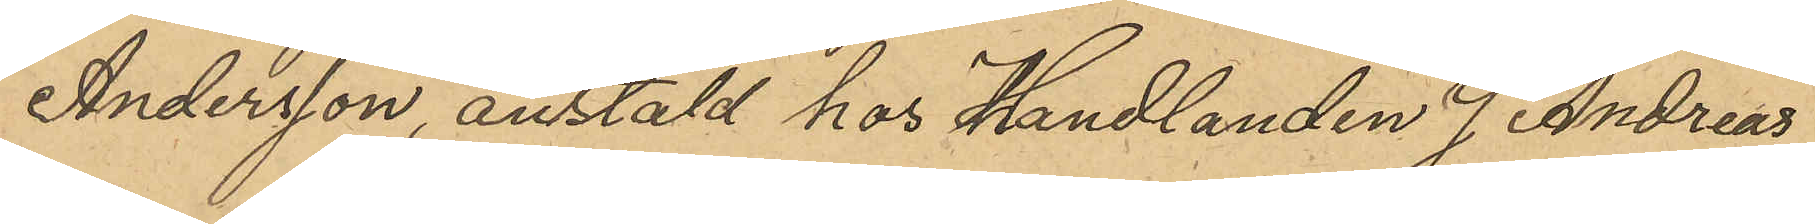Andersson, anstäld hos Handlanden J Andreas
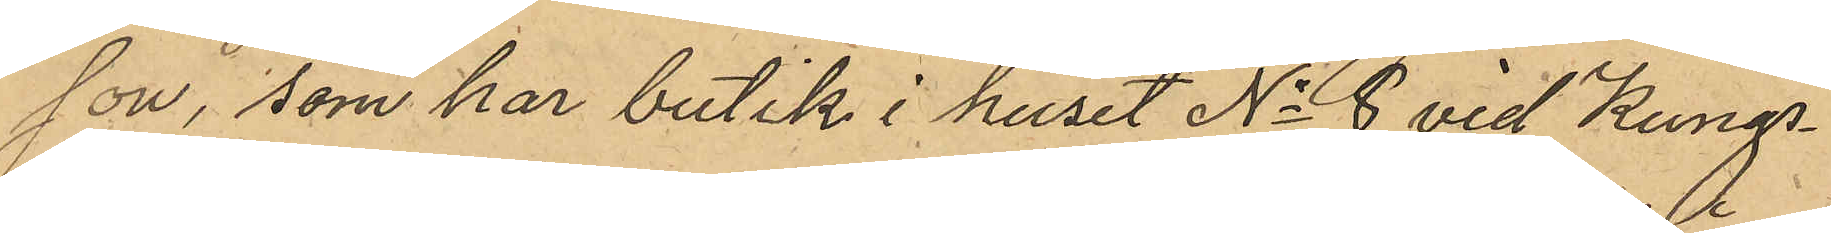son, som har butik i huset No 8 vid Kungs¬
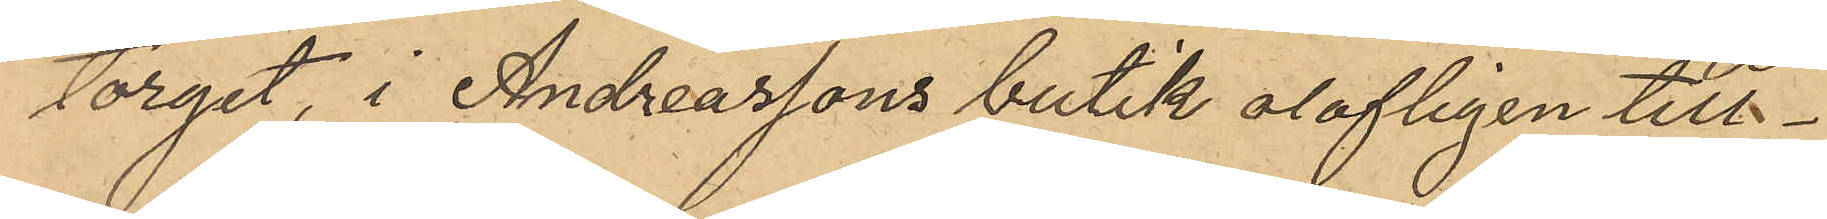torget, i Andreassons butik olofligen till¬
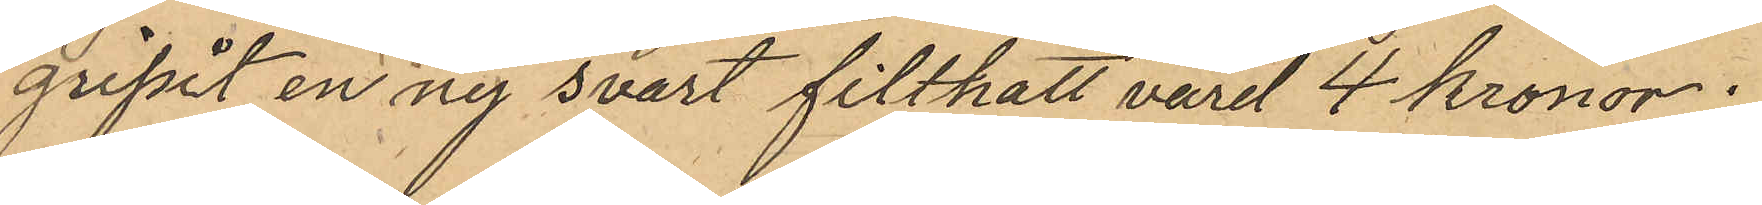gripit en ny svart filthatt värd 4 kronor;
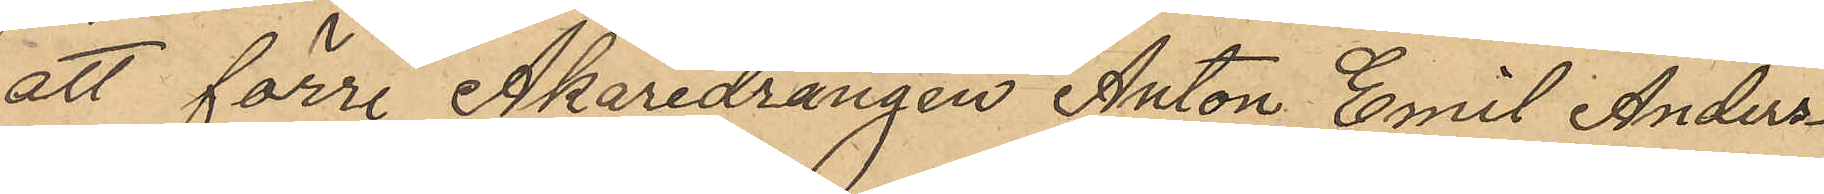att förre Åkaredrängen Anton Emil Anders¬
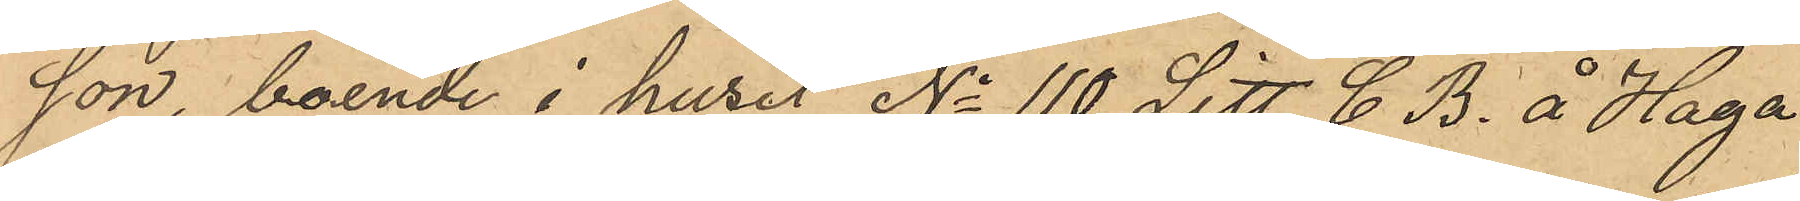gon, boende i huset No 110 Litt C. B. å Haga
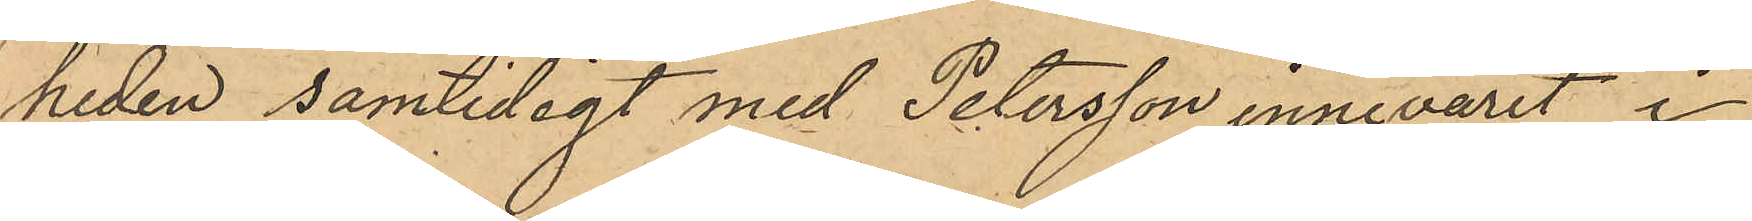heden samtidligt med Petersson innevarit i
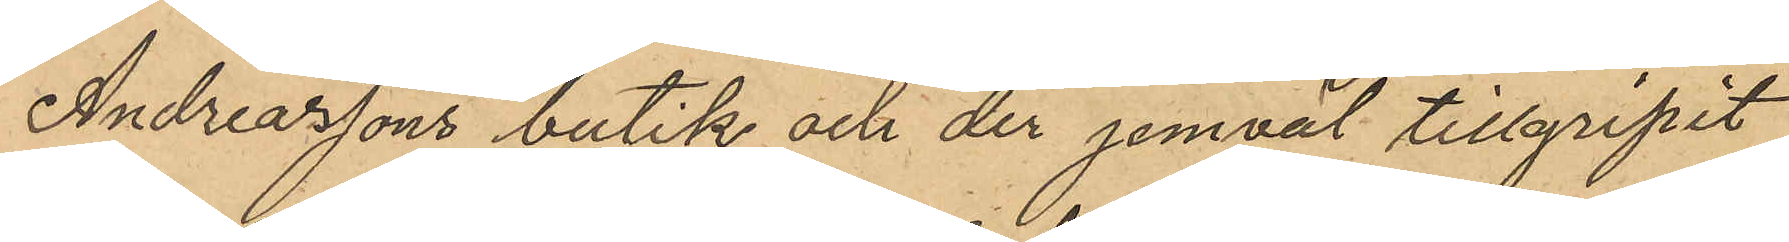Andreassons butik och der jemväl tillgripit
